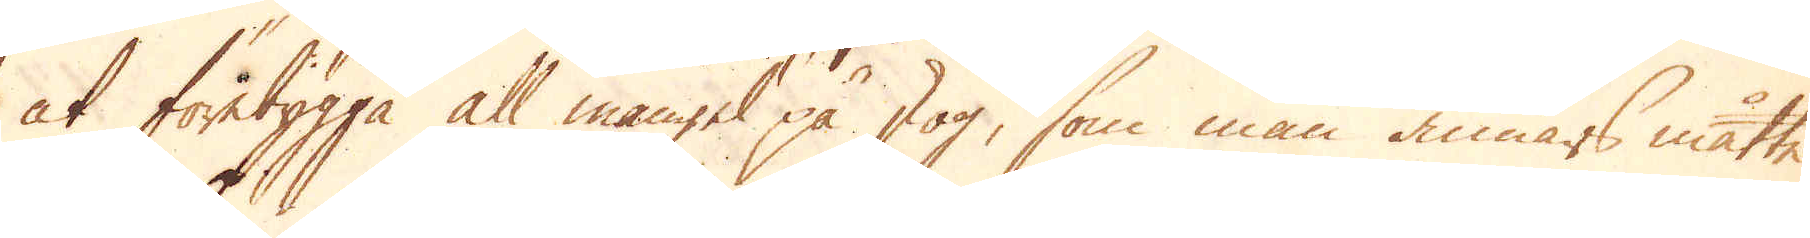at förebygga all mangel på skog, som man annars måtte
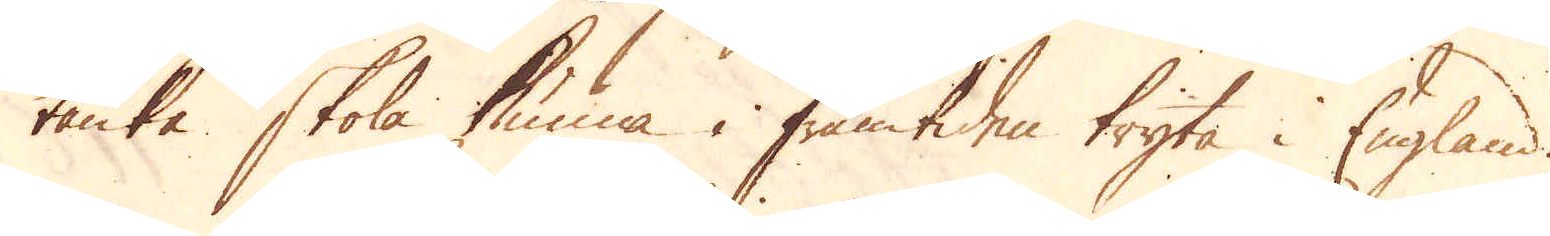tänka skola kunna i framtiden tryta i England.
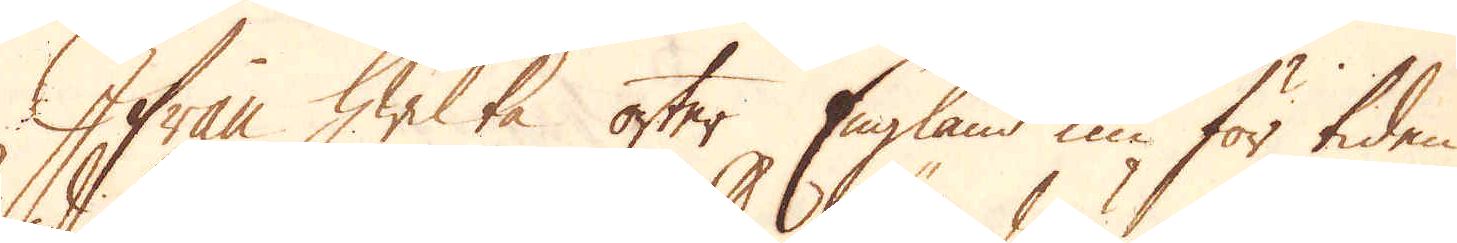Ifrån hwilka orter England nu för tiden
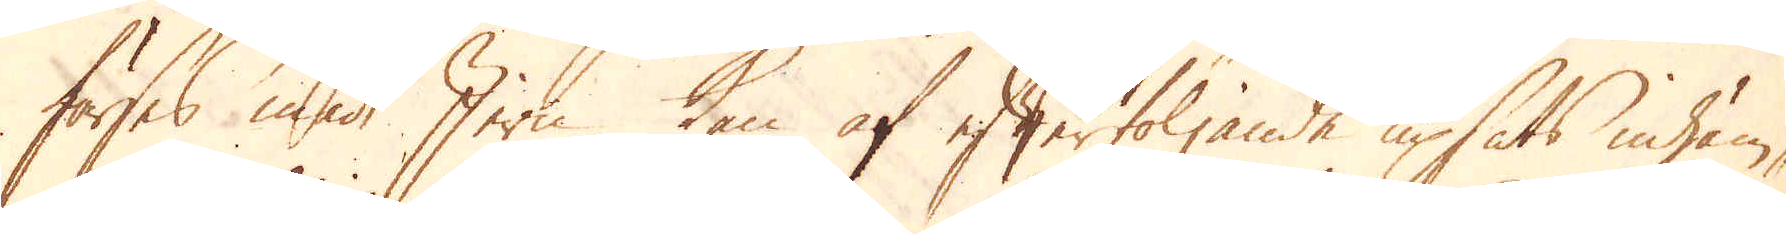förses med Jern kan af efterföljande upsats inhäm-
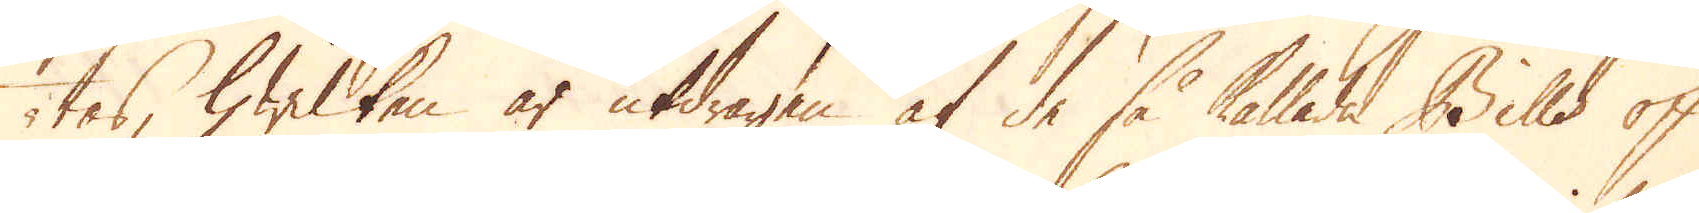tas, hwilken är utdragen af de så kallade Bills of
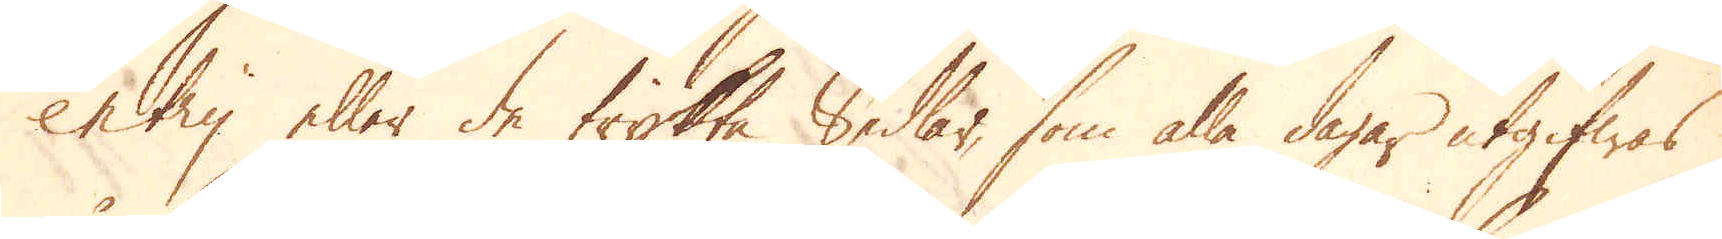entry eller de trykta Sedlar, som alla dagar utgifwas
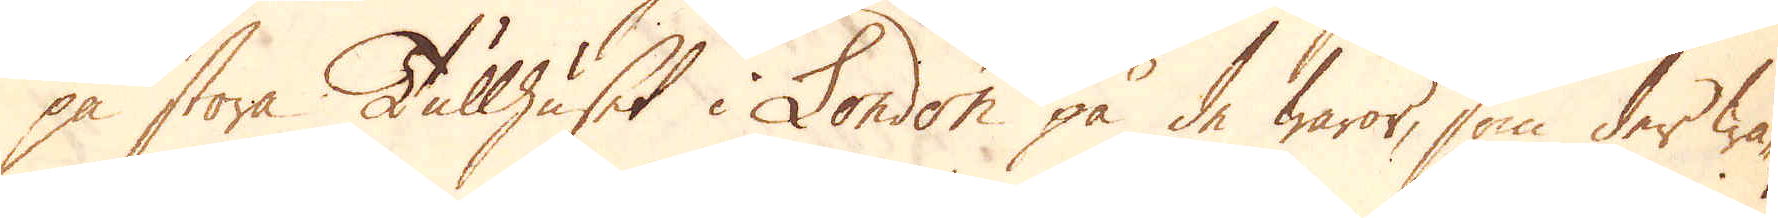på stora Tullhuset i London på de waror, som der wa-
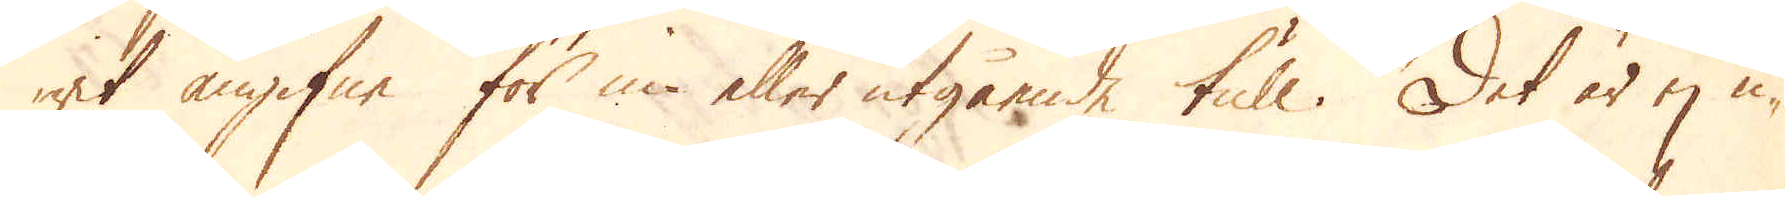rit angifne för in- eller utgående tull. Det är ej u-
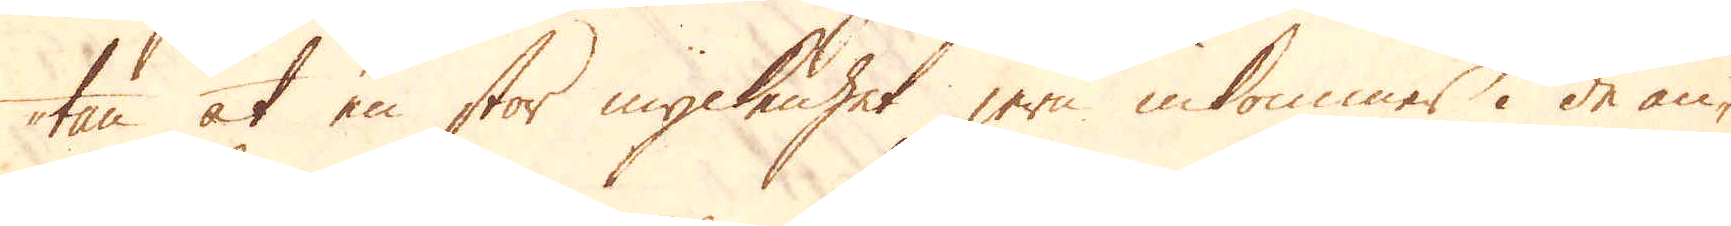tan at en stor myckenhet jern inkommer i de an-
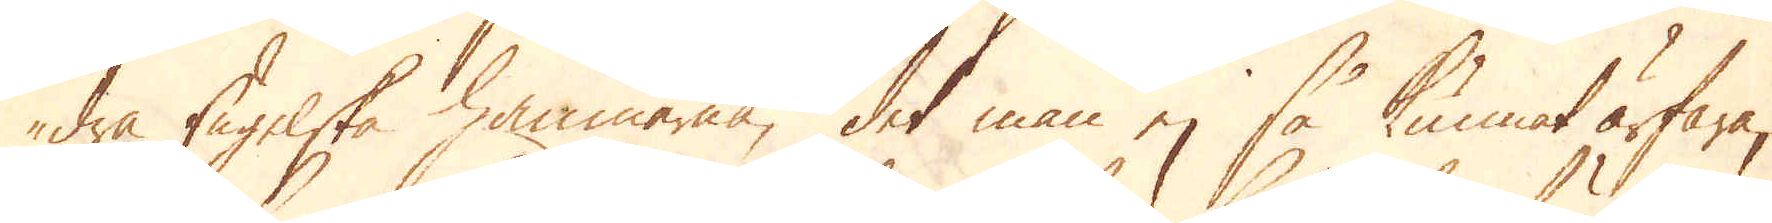dra Engelska hamnarna, det man ej så kunnat ärfara,
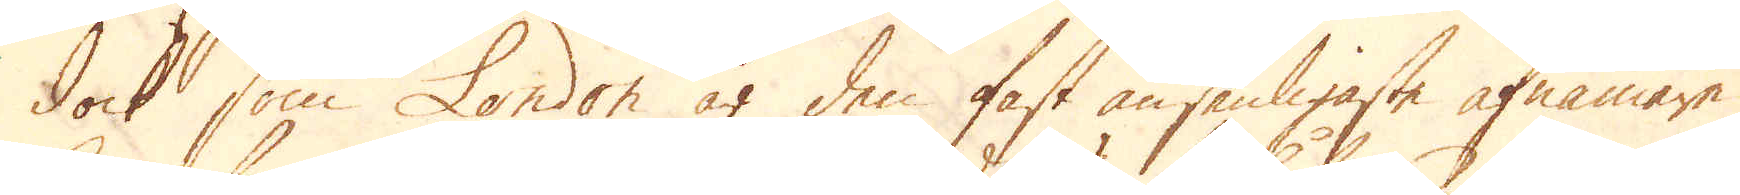dock som London är den fast ansenligaste afnämare,
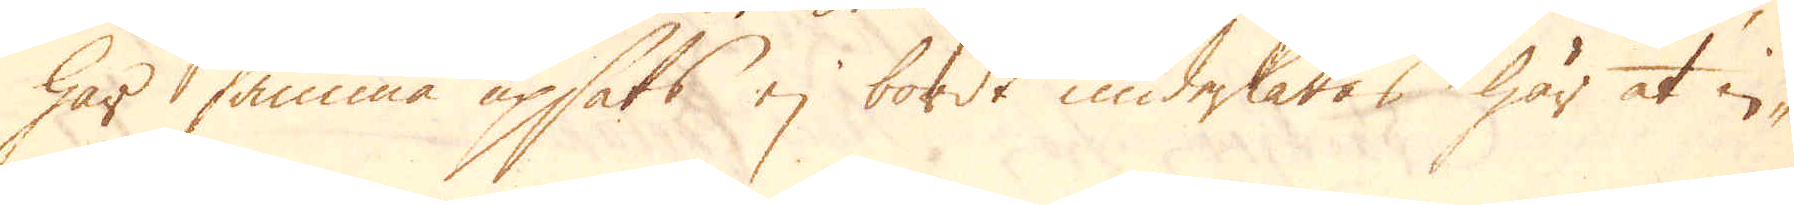har samma upsats ej bordt underlåtas här at in-
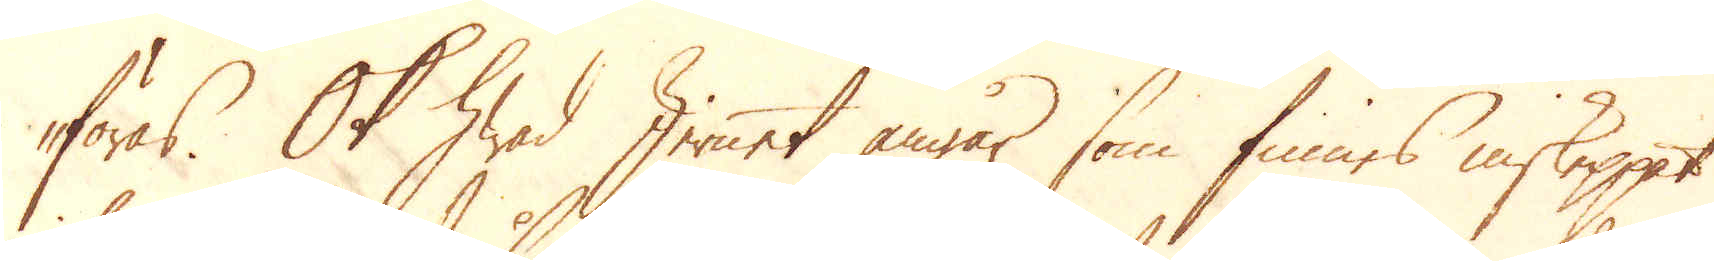föras. Ok hwad Jernet angår, som finnes inskeppat
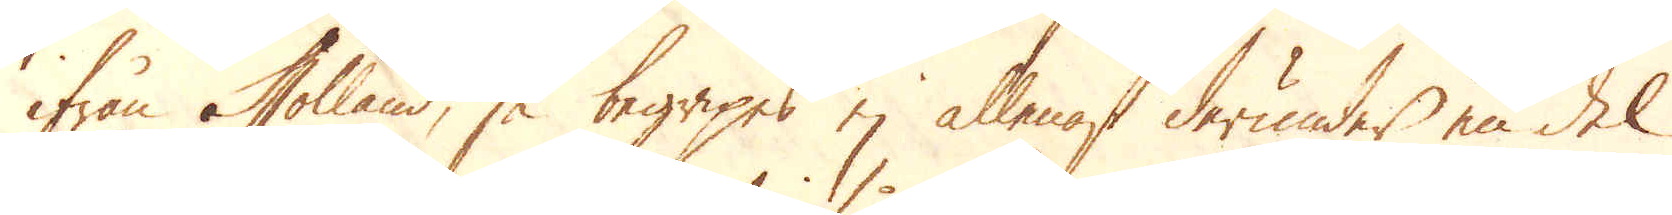ifrån Holland, så begripes ej allenast derunder en del
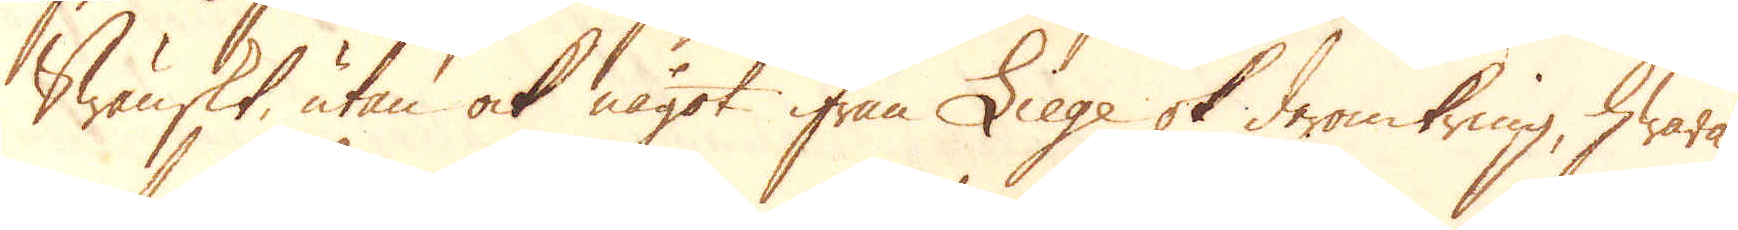Swänskt, utan ock något ifrån Liege ok deromkring, hwaraf
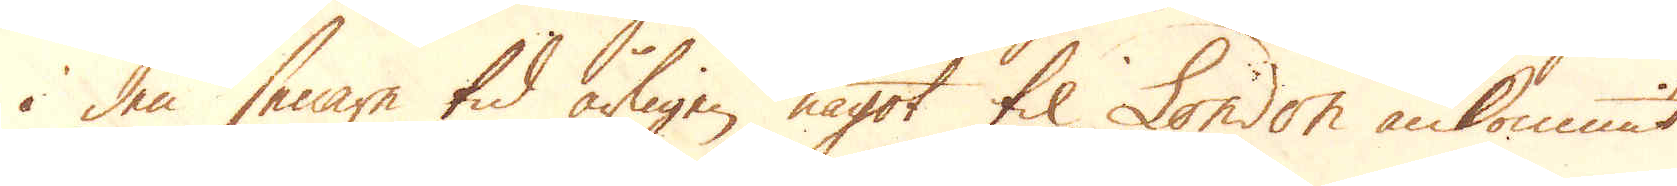i den senare tid årligen något til London ankommit.
